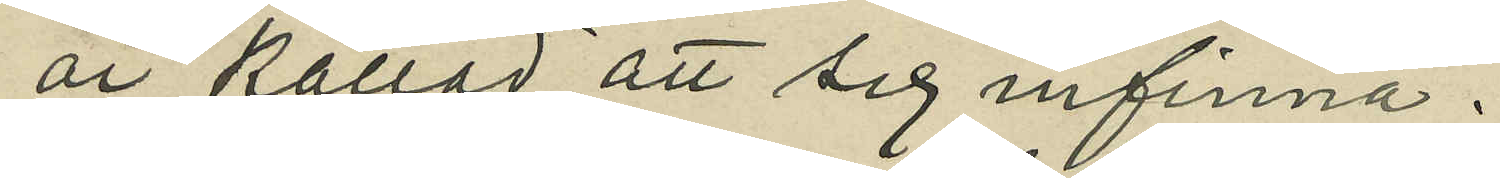är kallad att sig infinna.
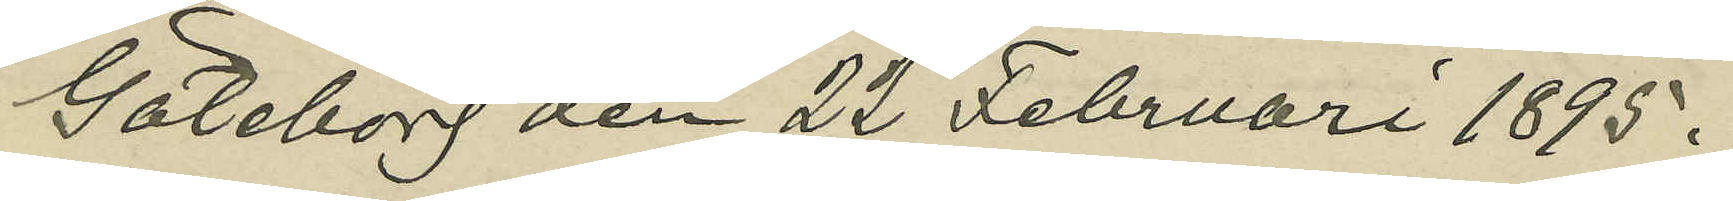Göteborg den 22 Februari 1895.
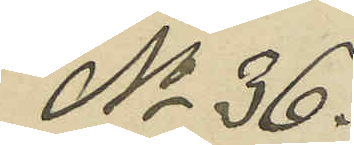No 36.
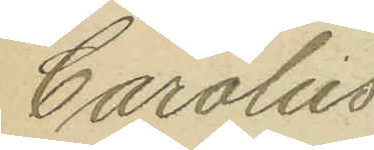Carolus
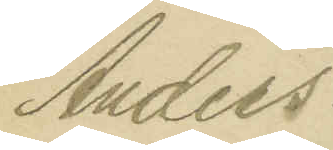Anders¬
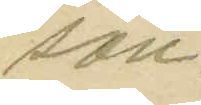son
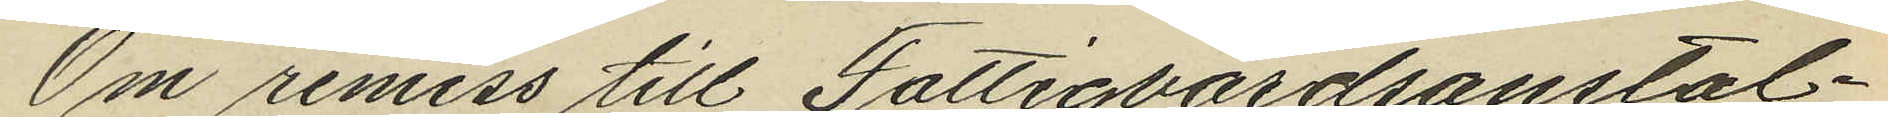Om remiss till Fattigvårdsanstal¬
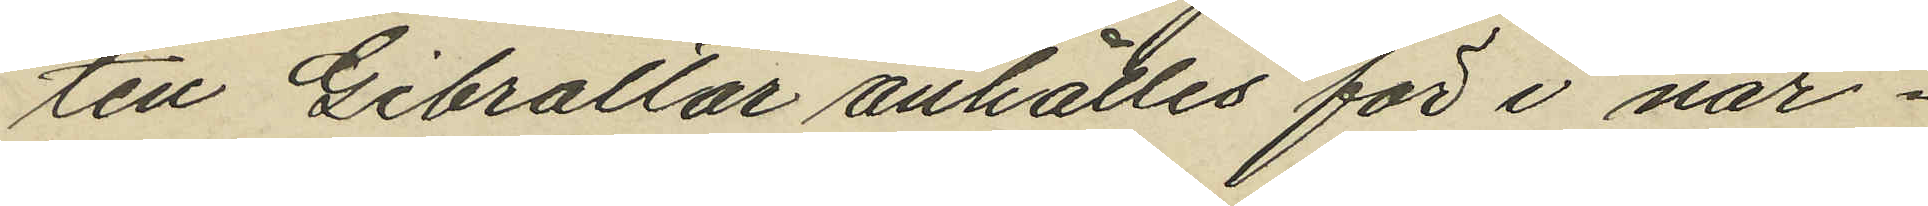ten Gibraltar anhålles för i när¬
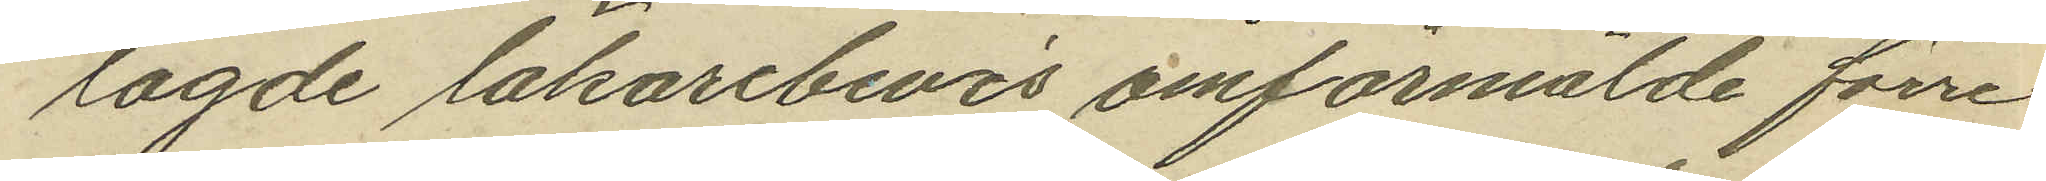lagde läkarebevis omförmälde förre
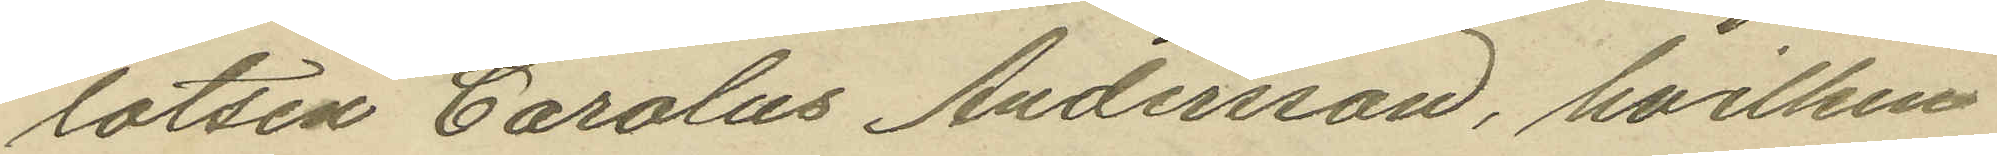lotsen Carolus Andersson, hvilken
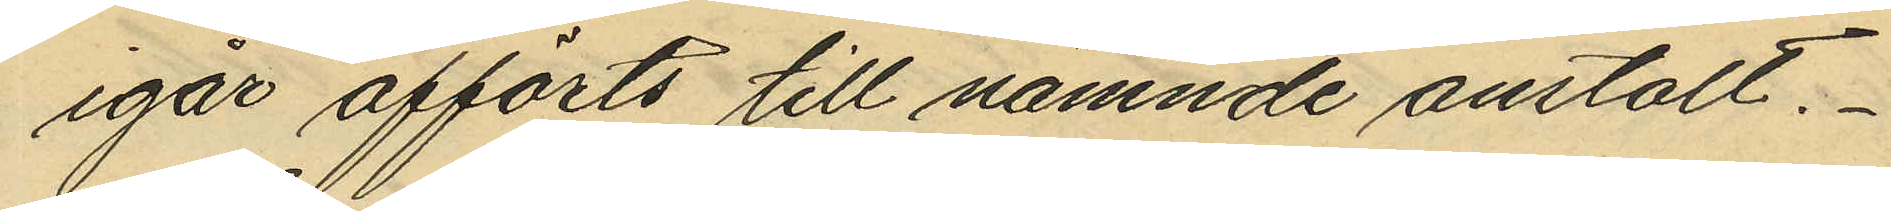igår afförts till nämnde anstalt.
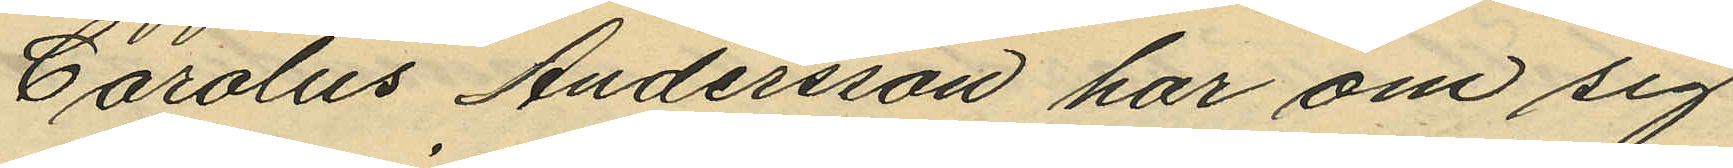Carolus Andersson har om sig
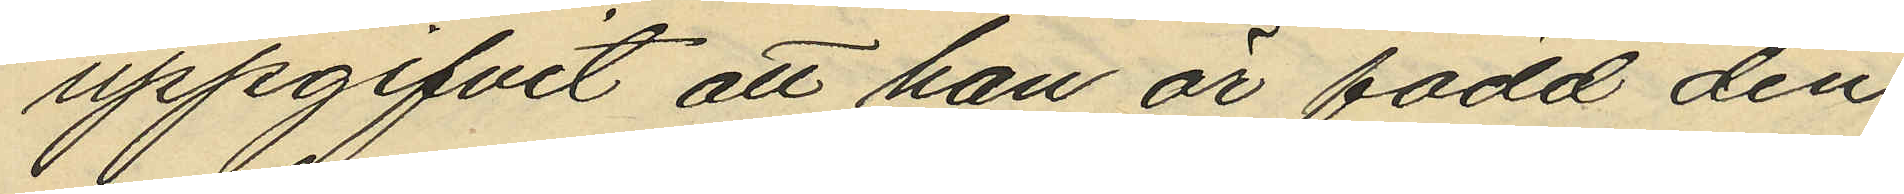uppgifvit att han är född den
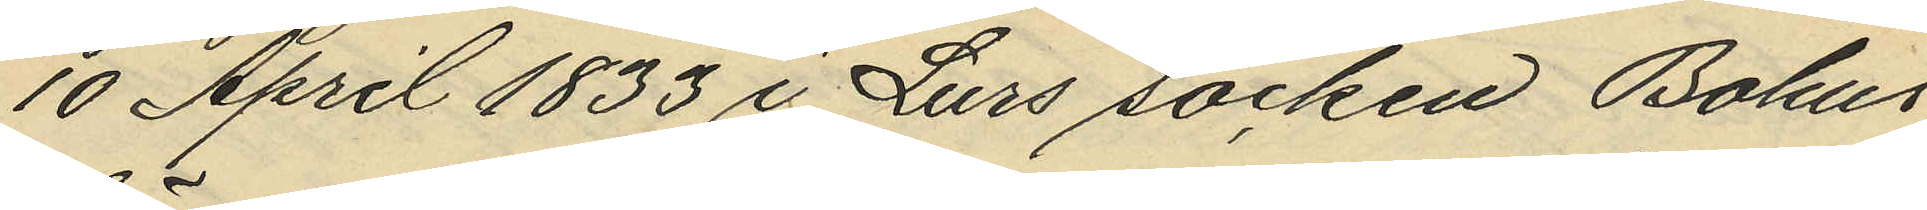10 April 1833 i Lurs socken Bohus
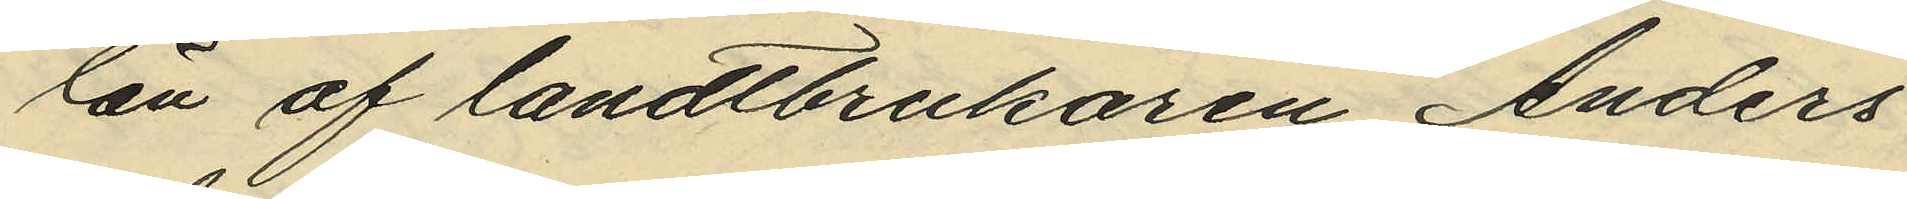län af landtbrukaren Anders
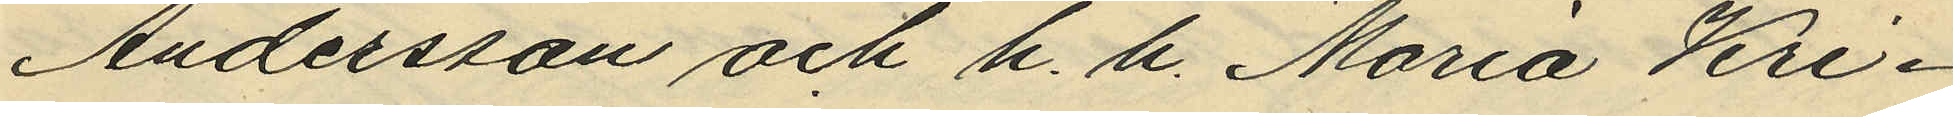Andersson och h. h. Maria Kri¬
